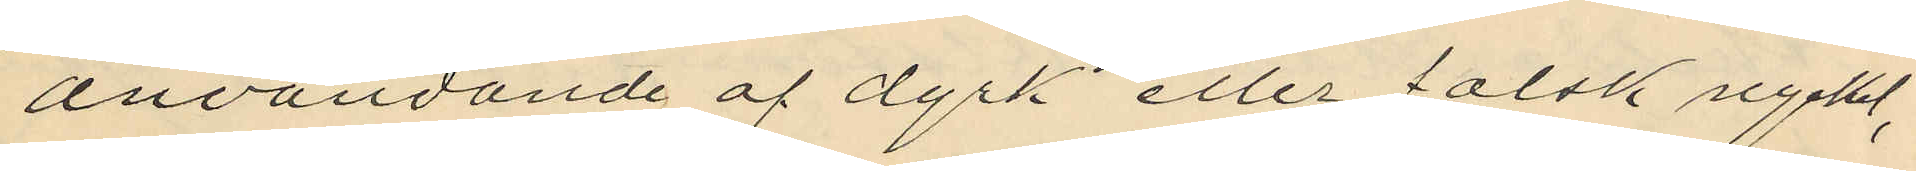användande af dyrk eller falsk nyckel,
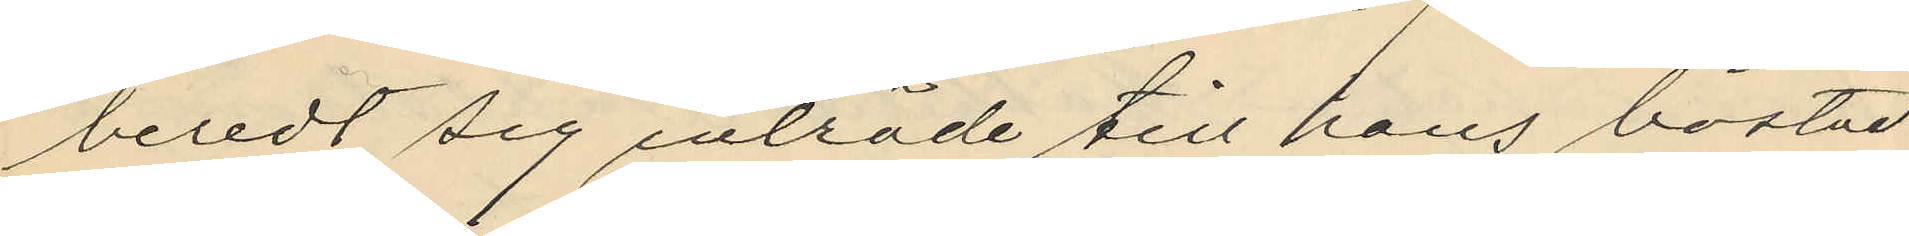beredt sig inträde till hans bostad
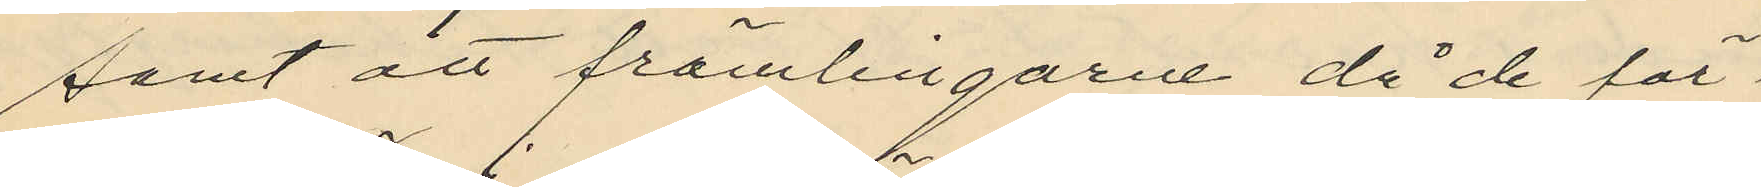samt att främlingarne då de för¬
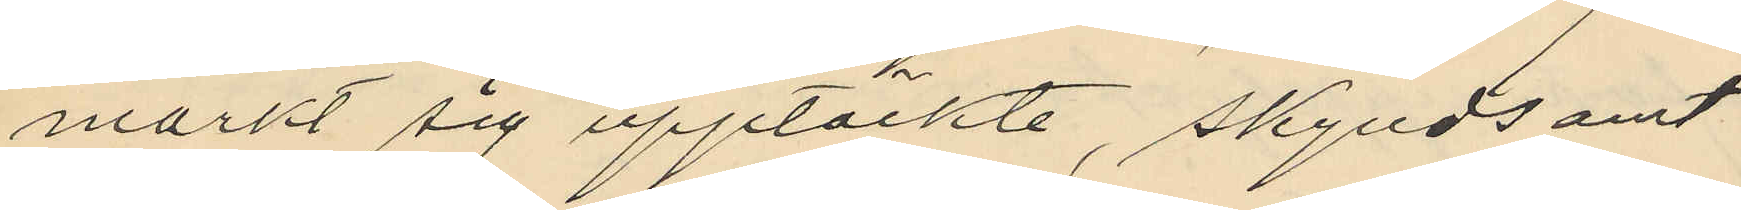märkt sig upptäckte, skyndsamt
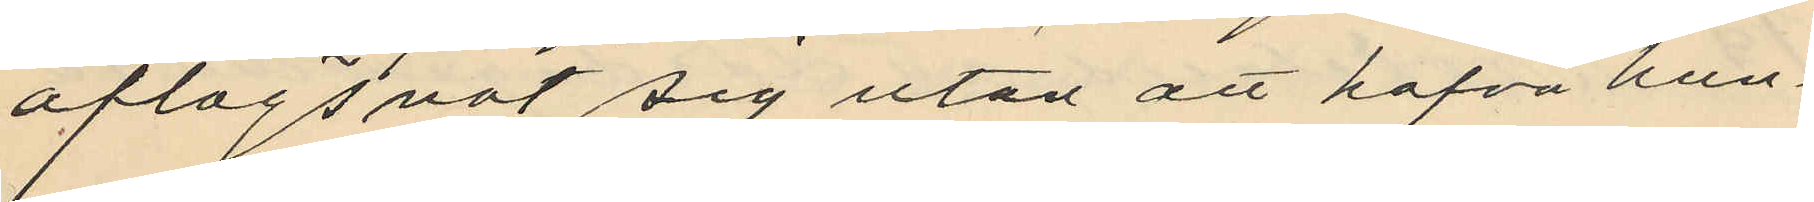aflägsnat sig utan att hafva hun¬
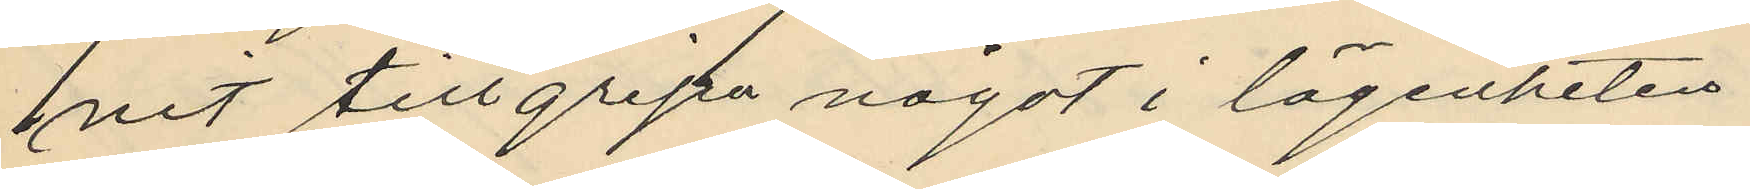nit tillgripa något i lägenheten
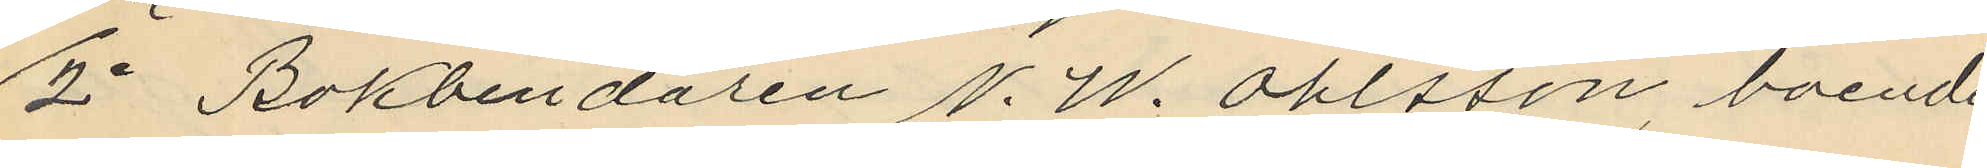2o Bokbindaren N. W. Ohlsson, boende
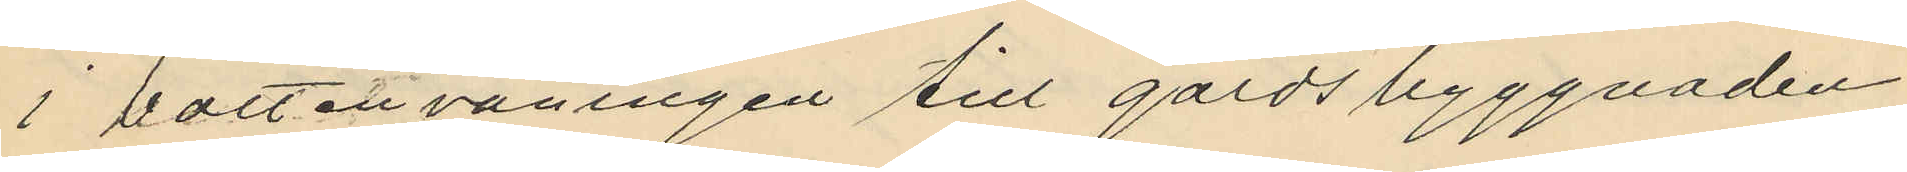i bottenvåningen till gårdsbyggnaden
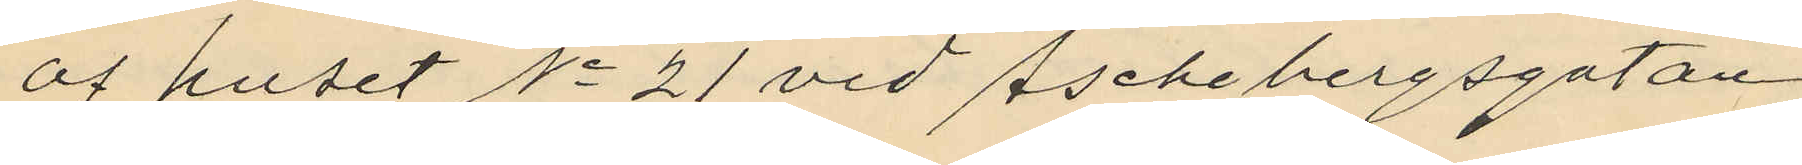af huset No 21 vid Aschebergsgatan
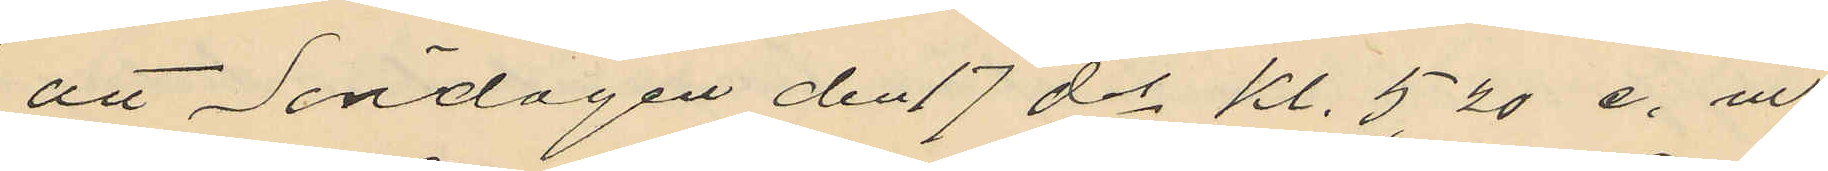att Söndagen den 17 ds kl. 5,20 e. m.
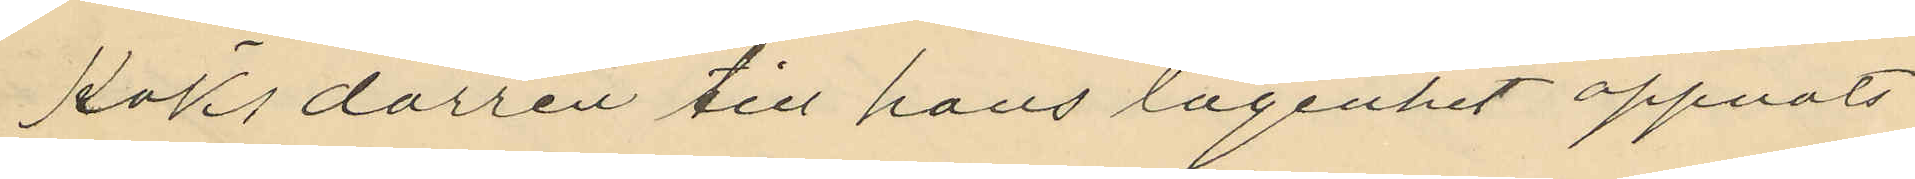köksdörren till hans lägenhet öppnats
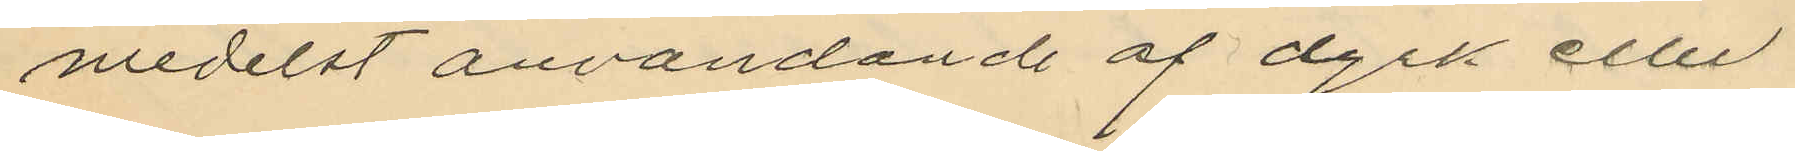medelst användande af dyrk eller
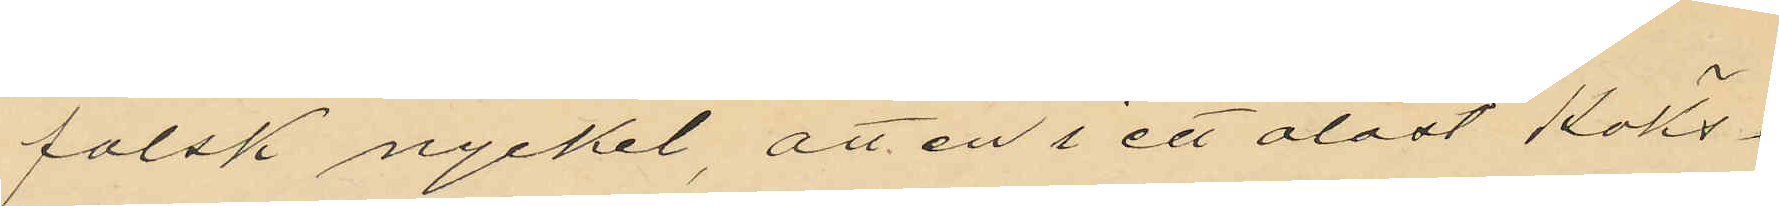falsk nyckel, att en i ett olåst köks¬
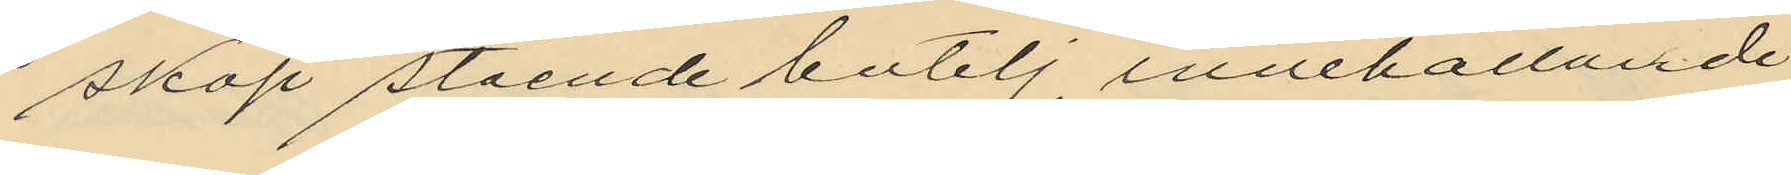skåp stående butelj innehållande
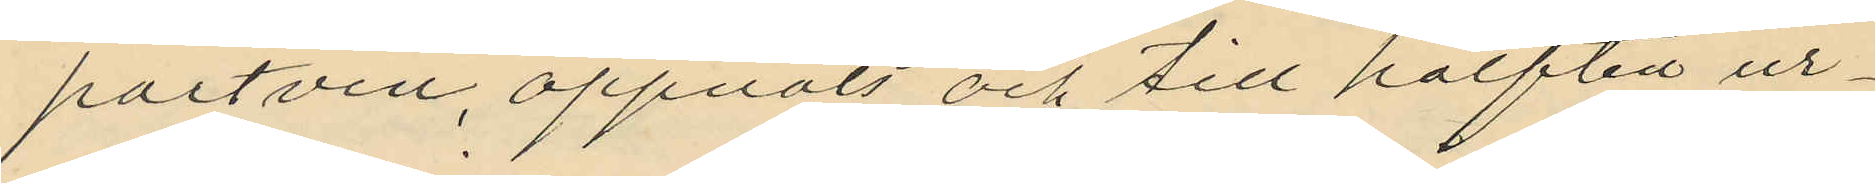portvin, öppnats och till hälften ur¬
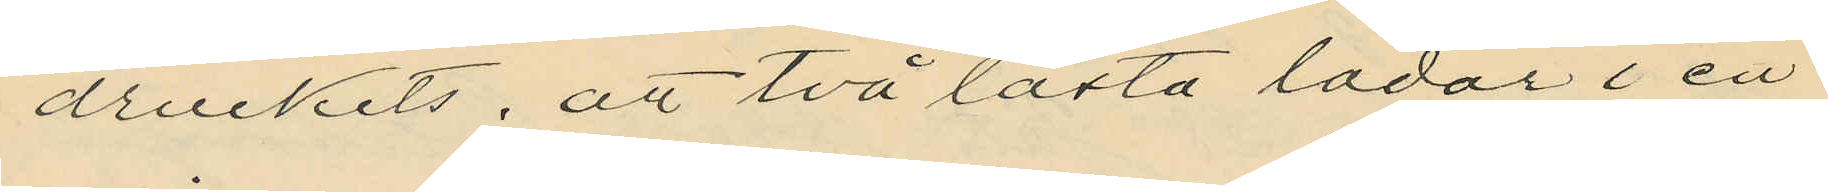druckits; att två låsta lådor i en
